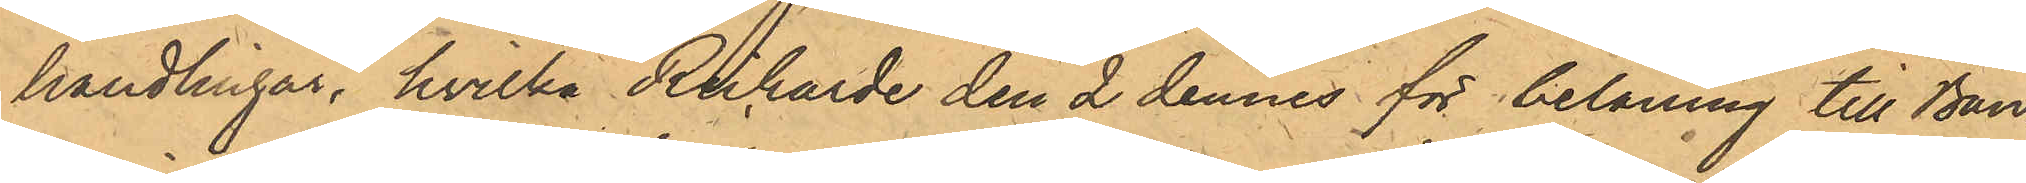handlingar, hvilka Richarde den 2 dennes för belåning till Ban¬
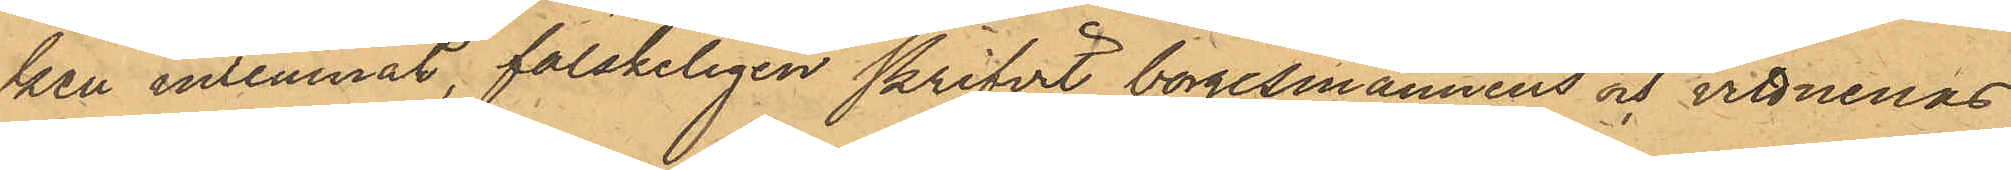ken inlemnat, falskeligen skrifvit borgesmännens och vittnenas
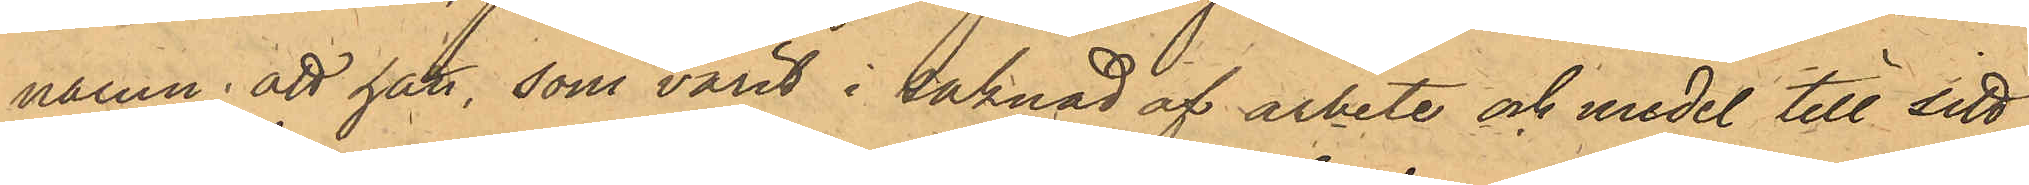namn; att han, som varit i saknad af arbete och medel till sitt
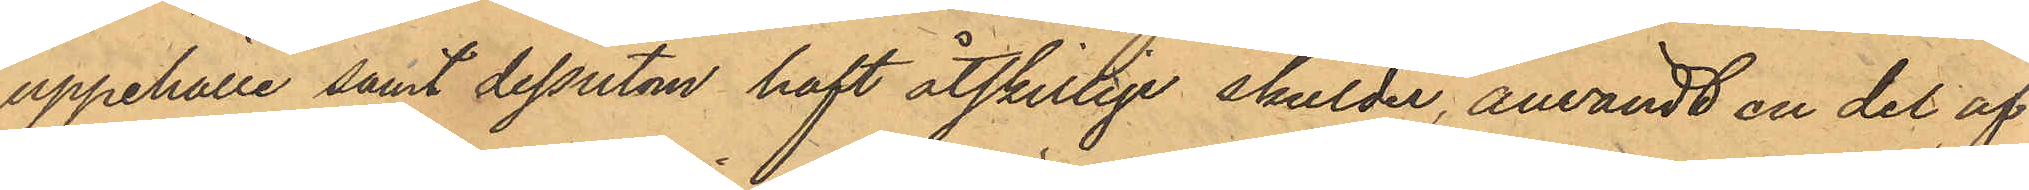uppehälle samt dessutom haft åtskillige skulder, användt en del af
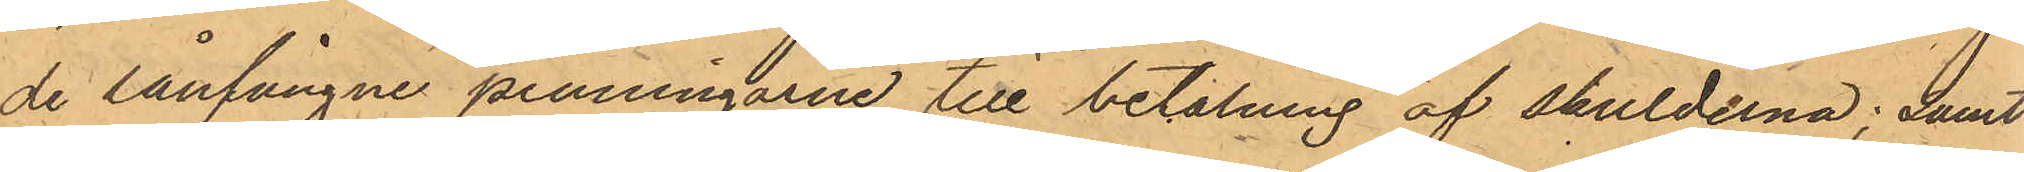de lånfångne penningarne till betalning af skulderna; samt
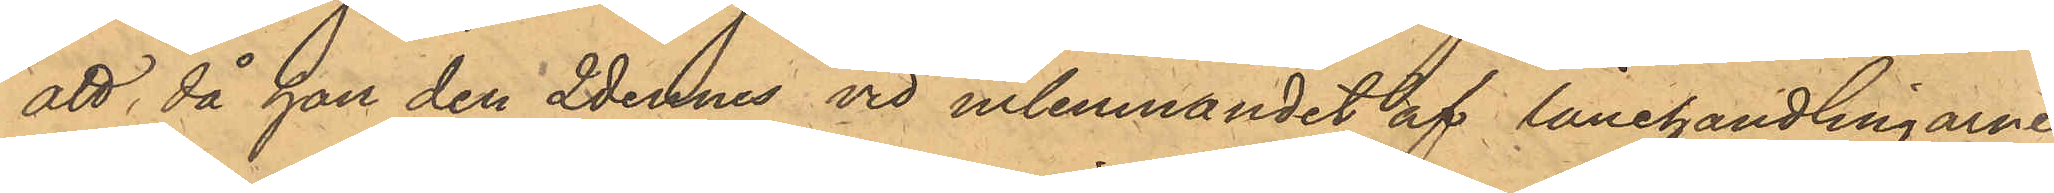att, då han den 2 dennes vid inlemnandet af lånehandlingarne
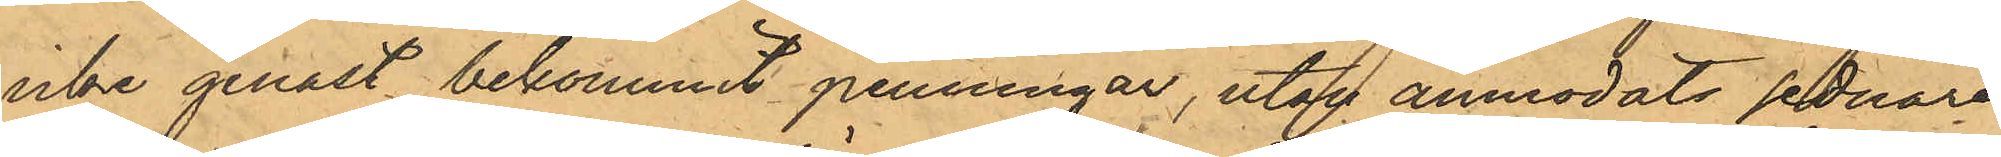icke genast bekommit penningar, utan anmodats sednare
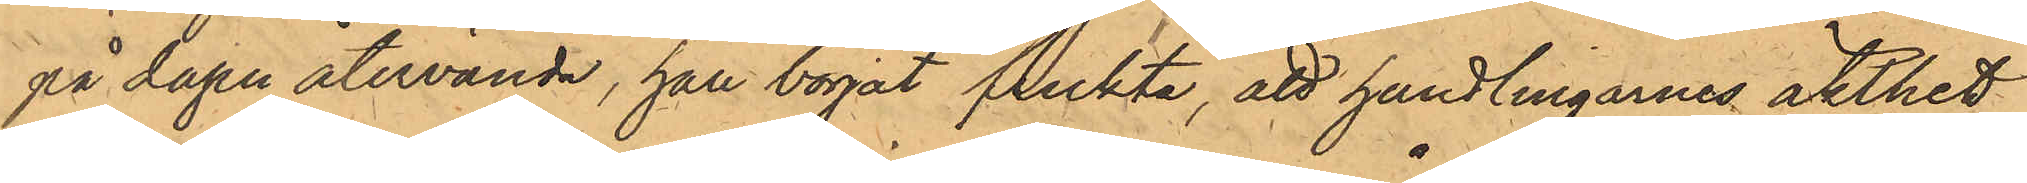på dagen återvända, han börjat frukta, att handlingarnes äkthet
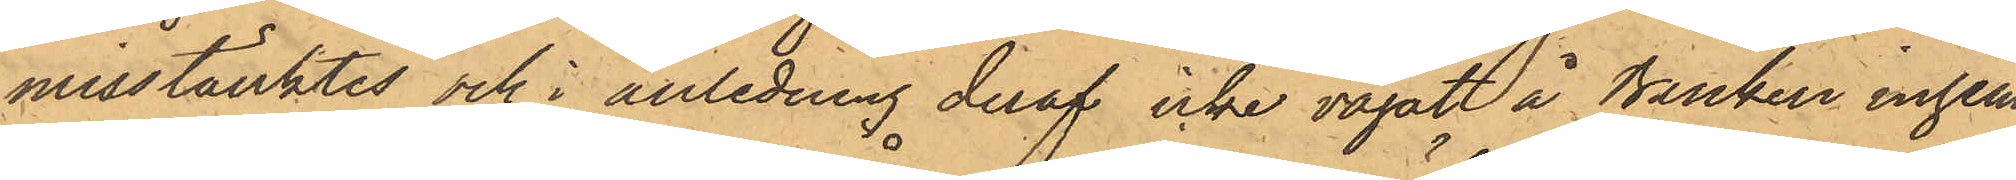misstänktes och i anledning deraf icke vågat å Banken inhem¬
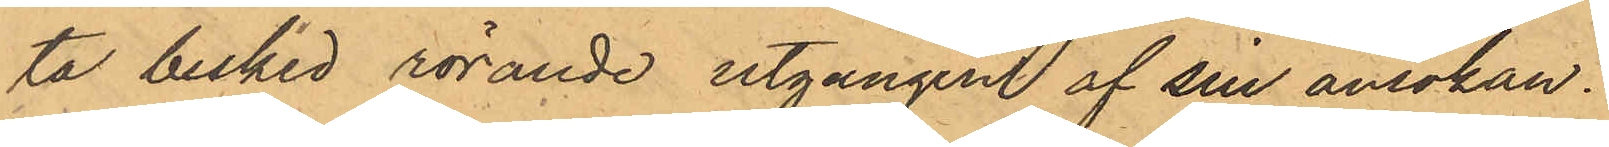ta besked rörande utgången af sin ansökan.
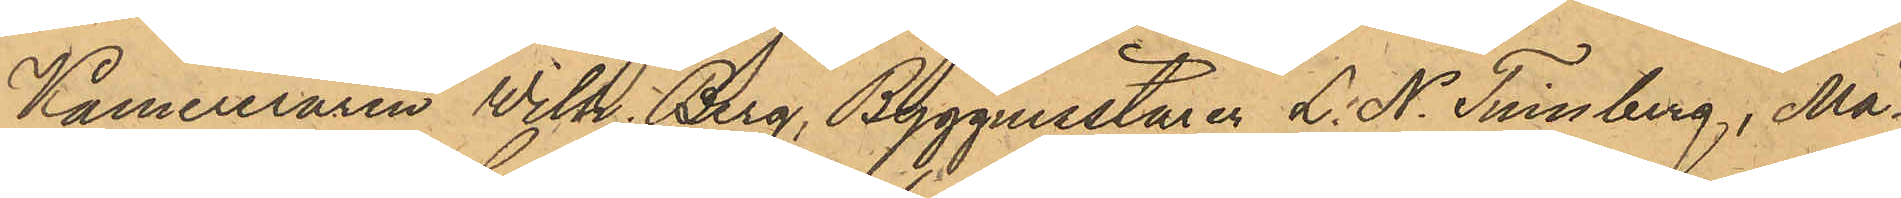Kamereraren Wilh. Berg, Byggmästaren L. N. Tinnberg, Må¬
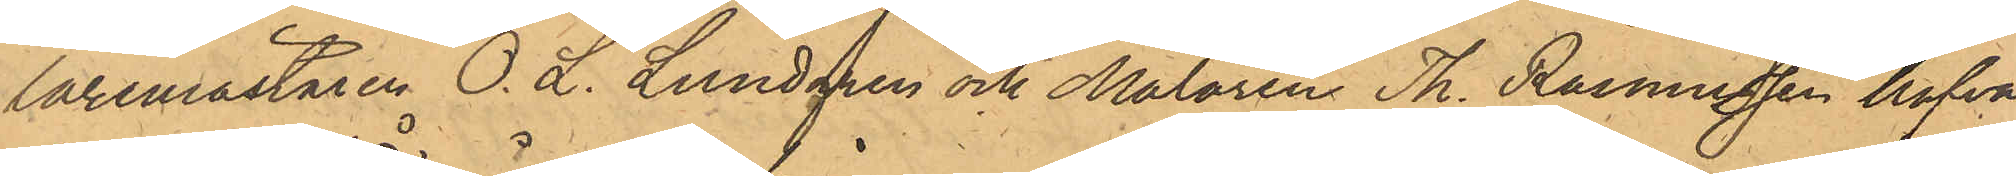laremästaren O. L. Lundgren och Målaren Th. Rasmussen hafva
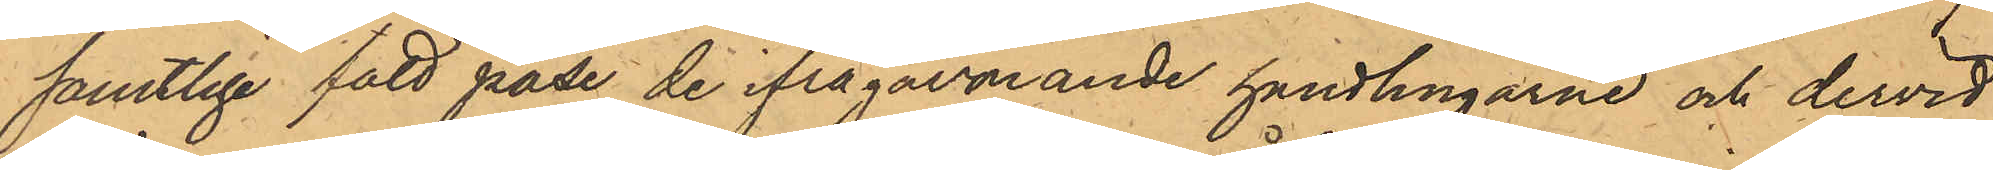samtlige fått påse de ifrågarande handlingarne och dervid
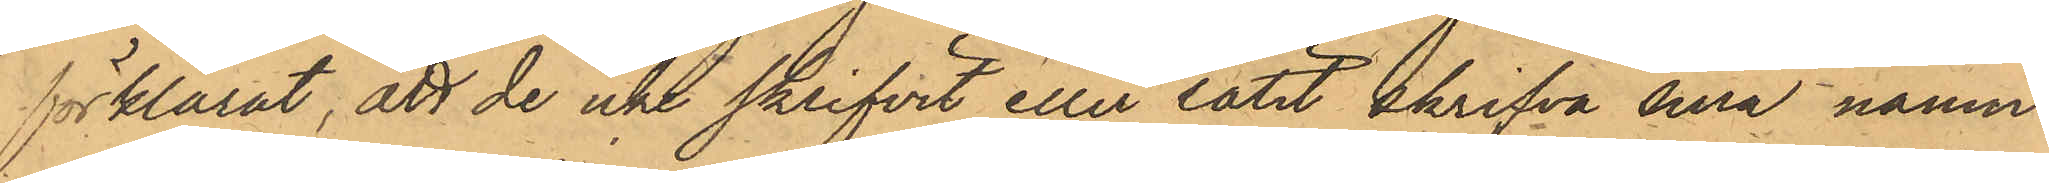förklarat, att de icke  skrifvit eller låtit skrifva sina namn
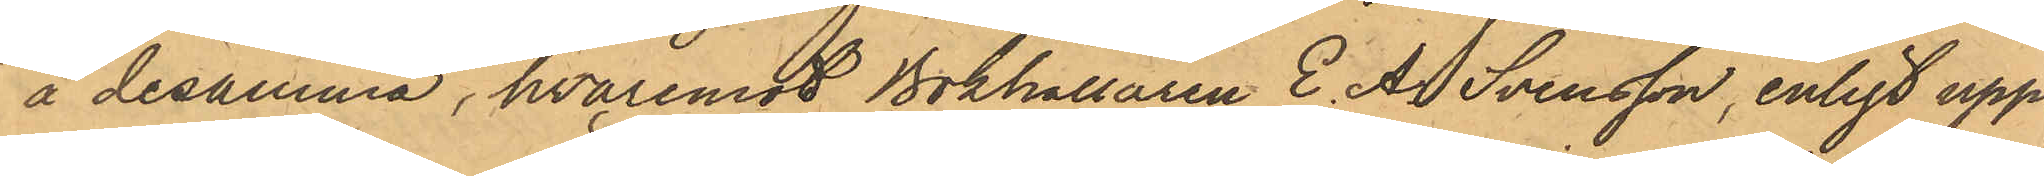å desamma, hvaremot Bokhållaren E. A Svensson, enligt upp¬
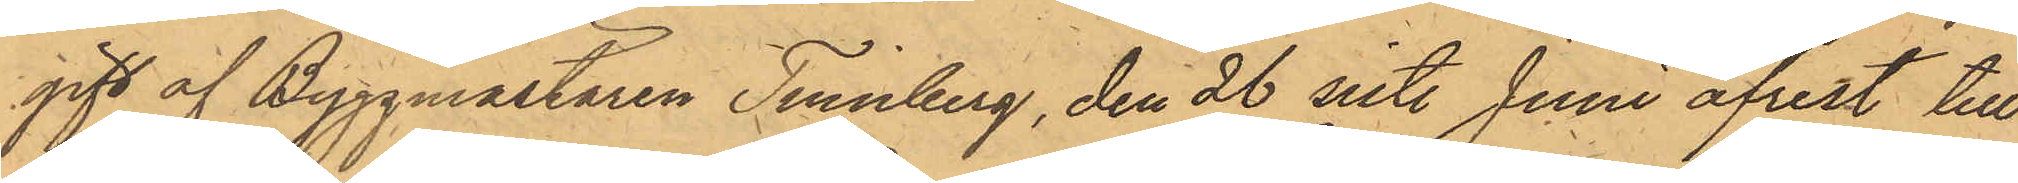gift af Byggmästaren Tinnberg, den 26 sist. Juni afrest till
